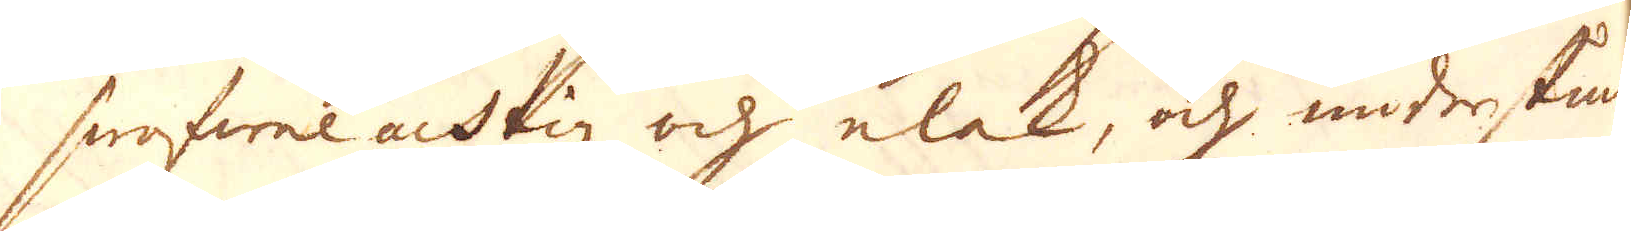swafwel achtig och elak, och undestundom
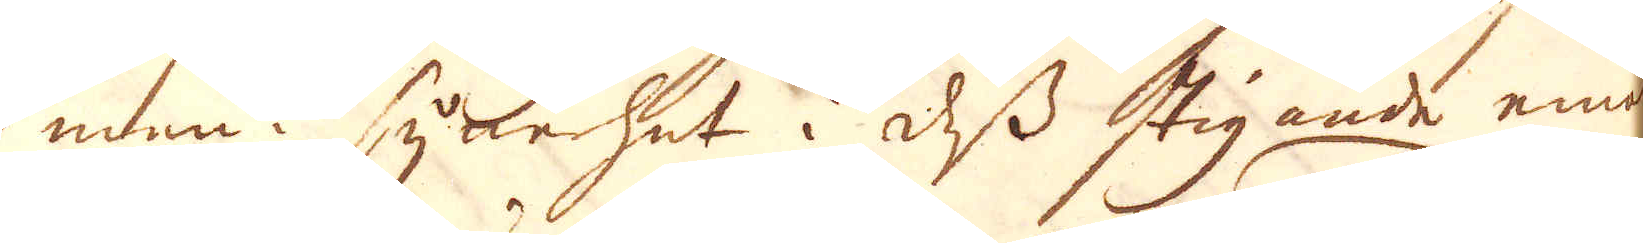men i synnerhet i dess stigande emot
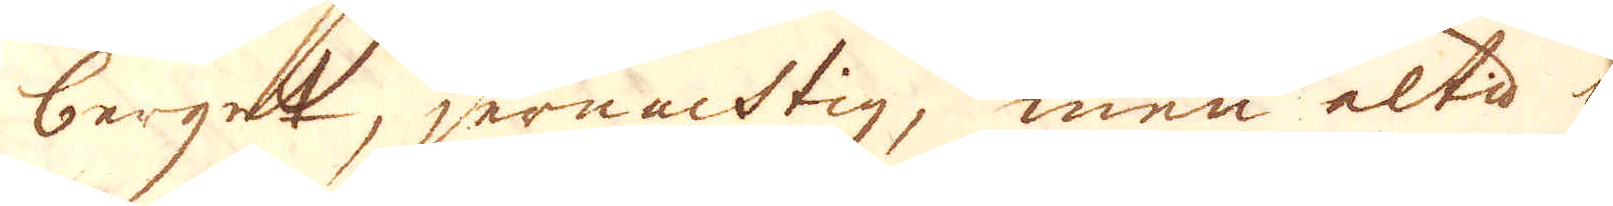berget, jernachtig, men altd up-
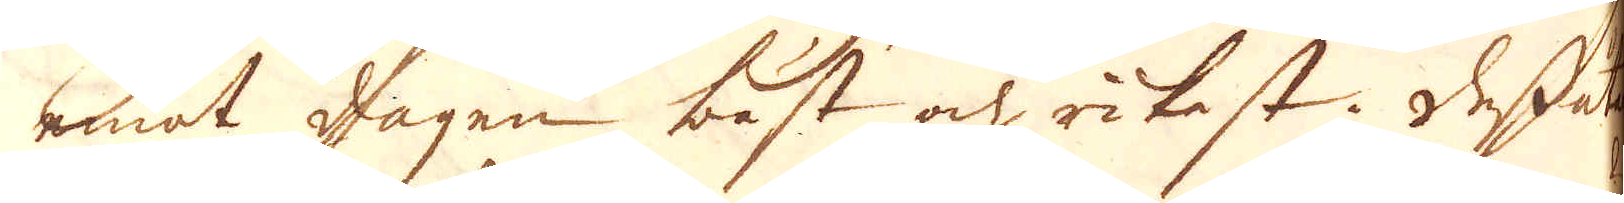emot dagen bäst och rikast. Dessutom
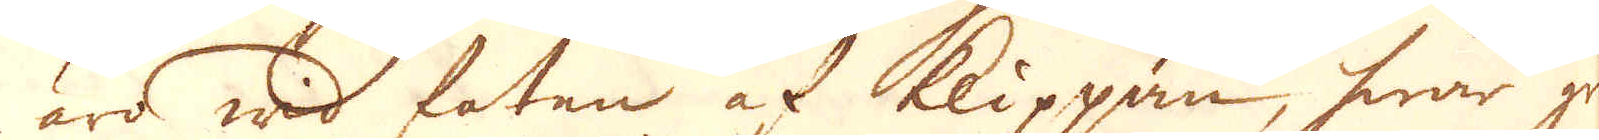äro wid foten af klippan, hwar gruf-
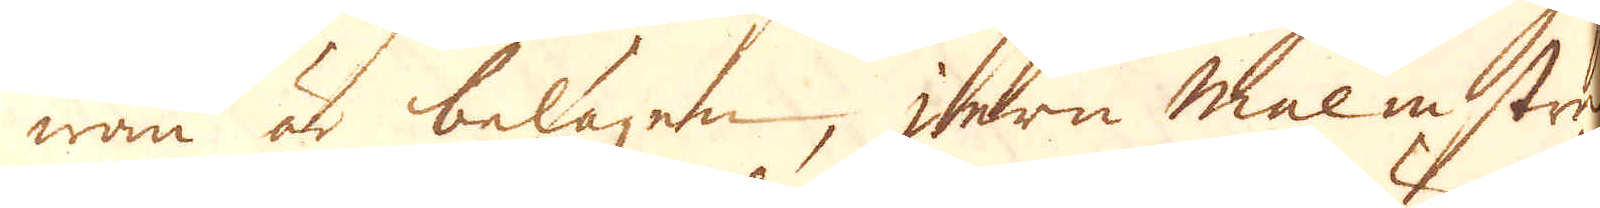wan är belägen, jern malm sträck
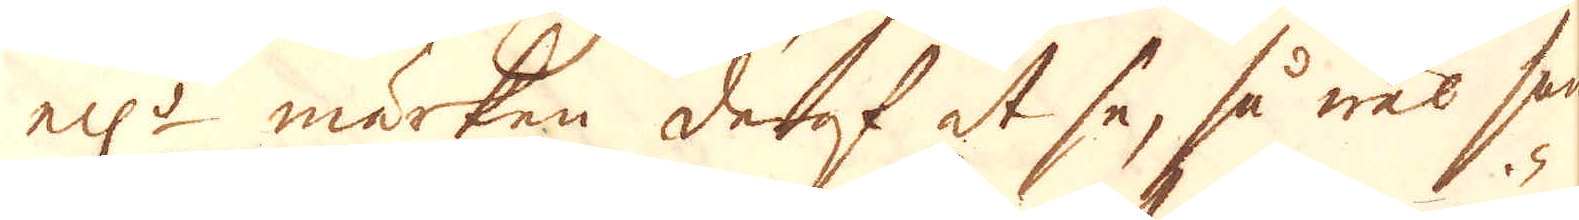ell:r märken deraf at se, så wäl han
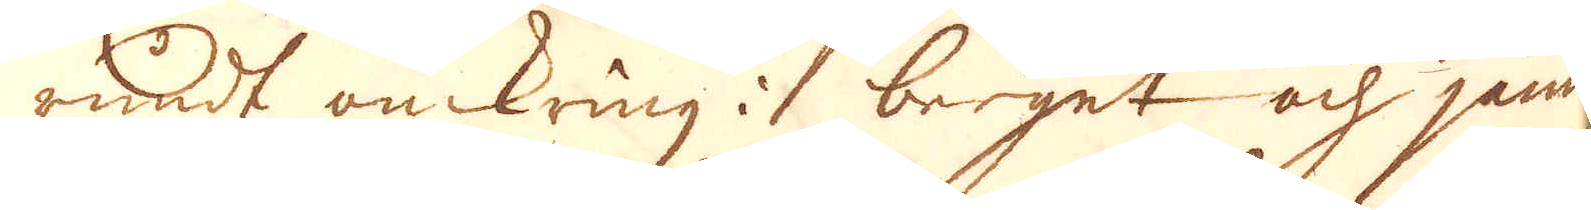rundt omkring i berget och jämn
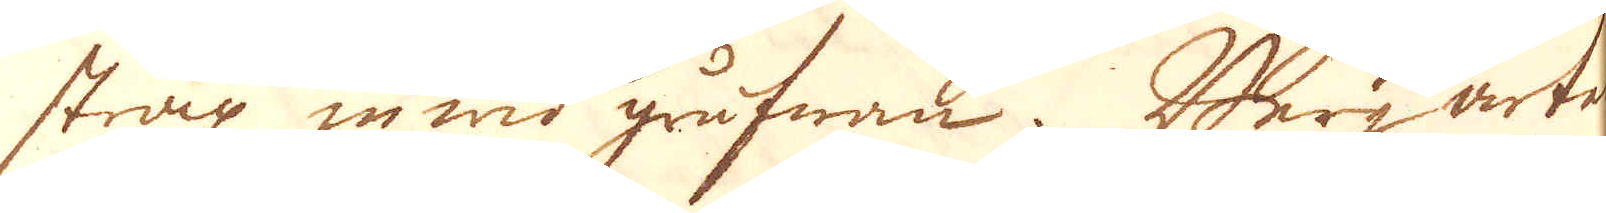strax in wid grufwan. Berg arten
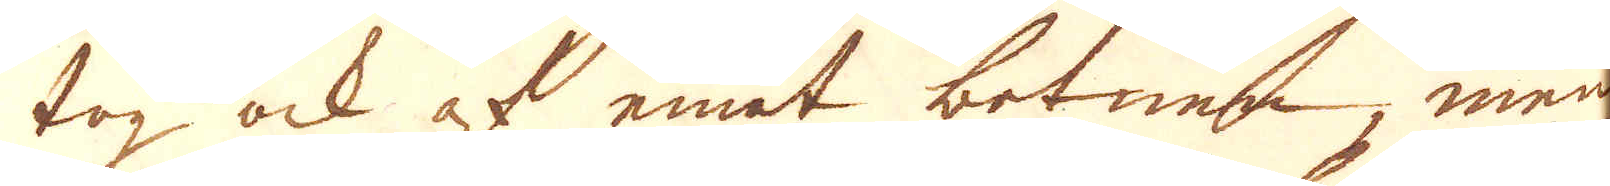tog ock af emot botnen, men
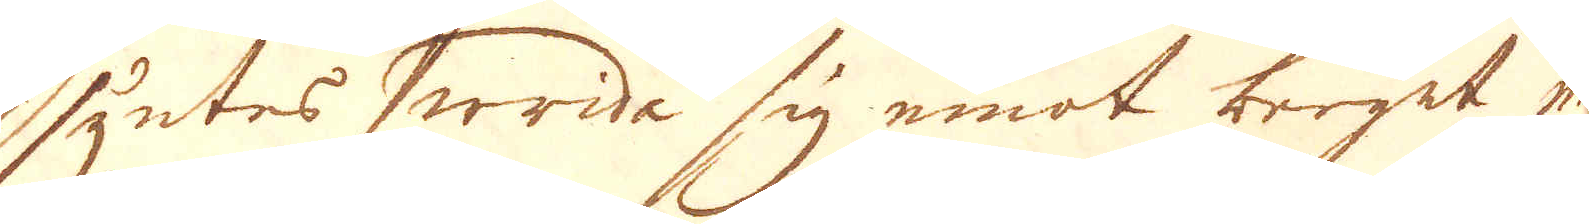syntes wrida sig emot berget med
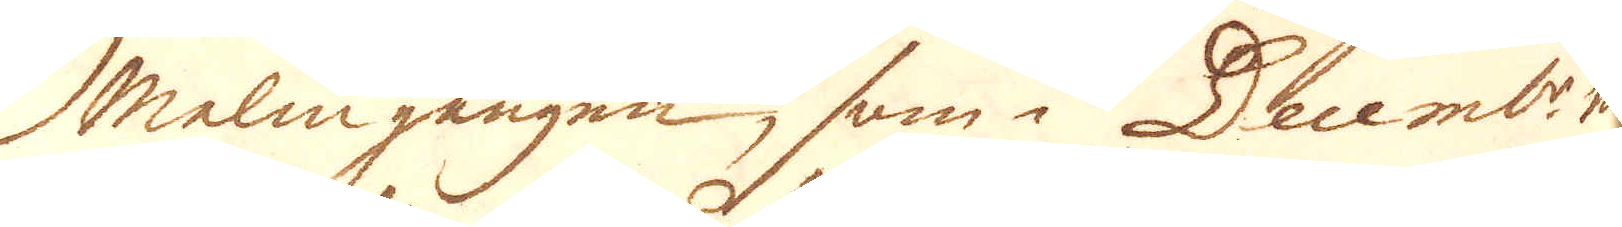Malmgången, som i Decemb:r må-
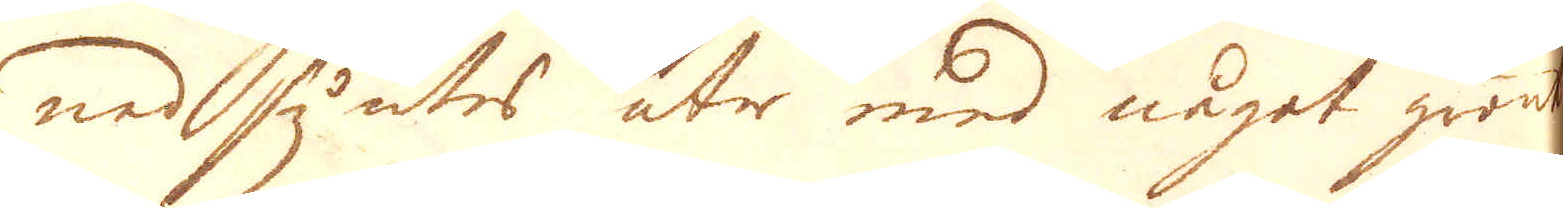nad syntes åter med något grönt
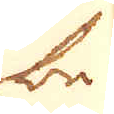be-
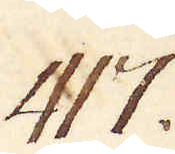417.
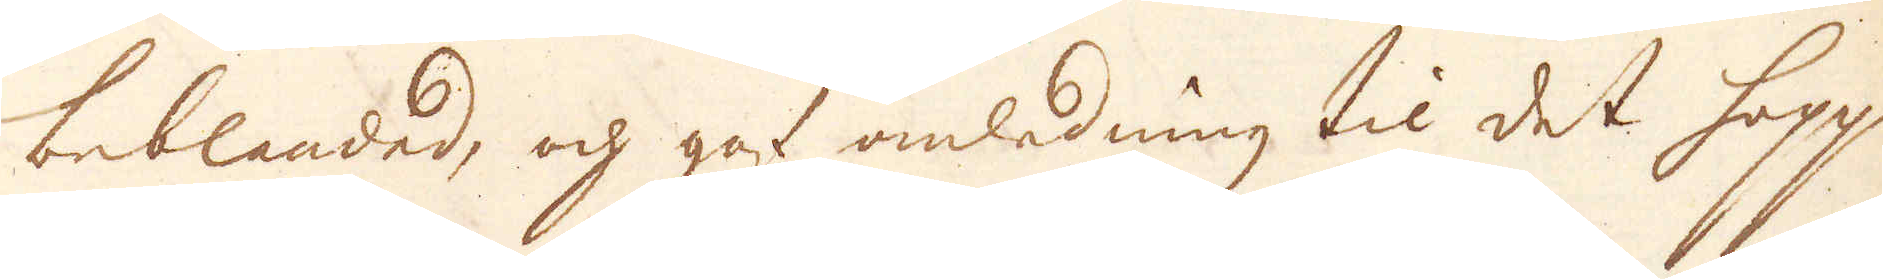beblandad, och gaf anledning til det hopp
